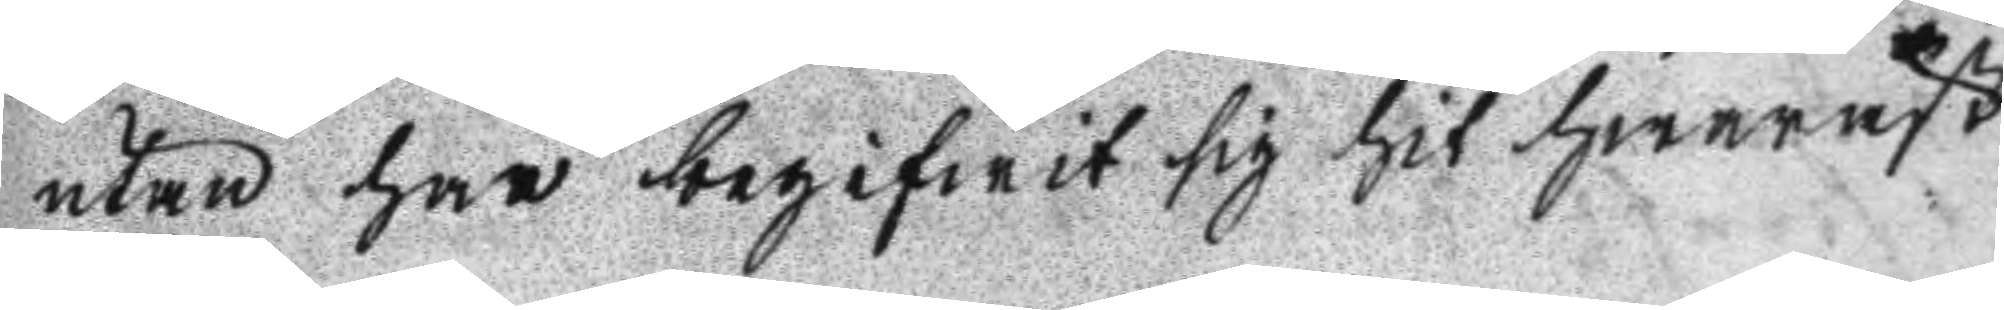utan har begifwit sig hit hwaräst
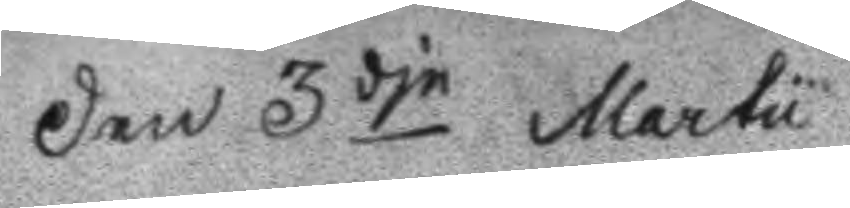Den 3dje Martu
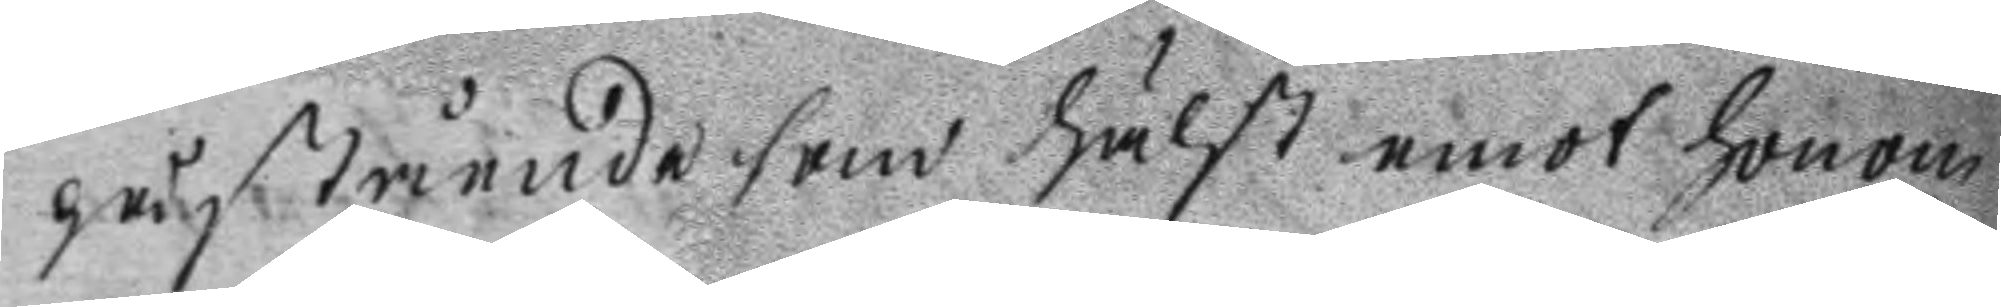påstående som hälst enot honom
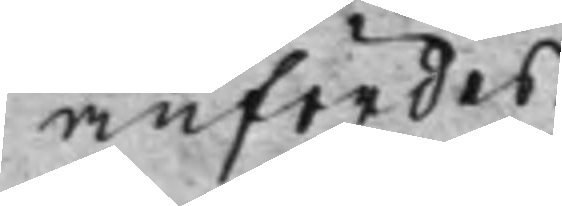anfördes.
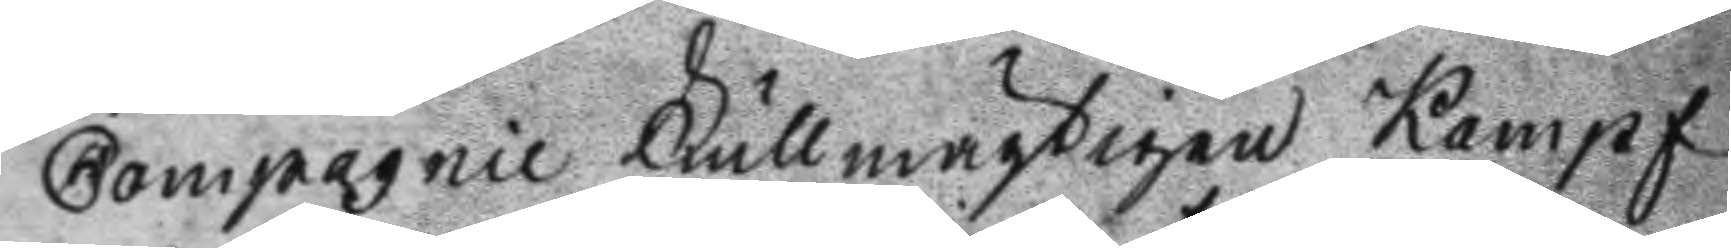Compagnie Fullmäktigen Kampf
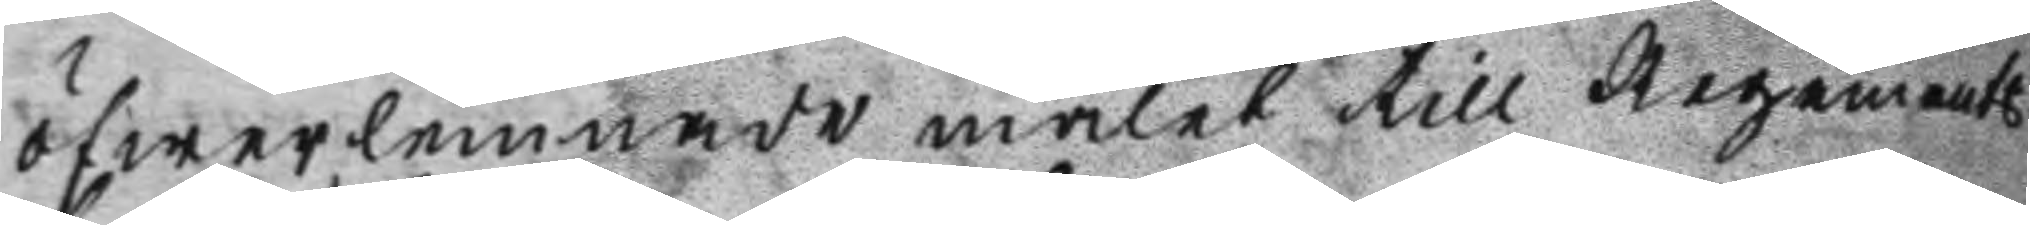öfwerlemnade målet till Regements
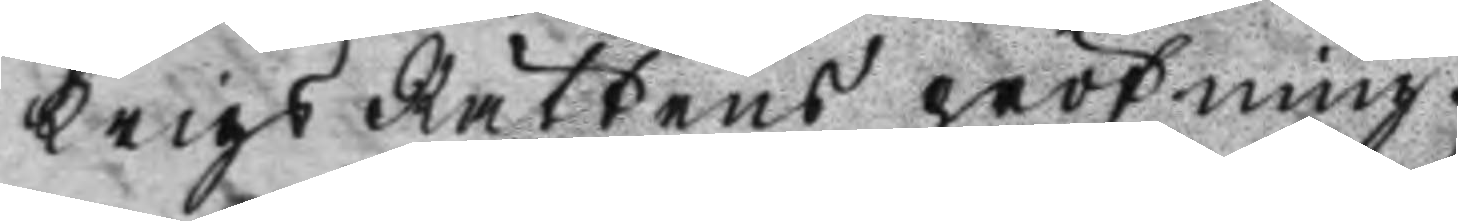Krigs Rättens pröfning.
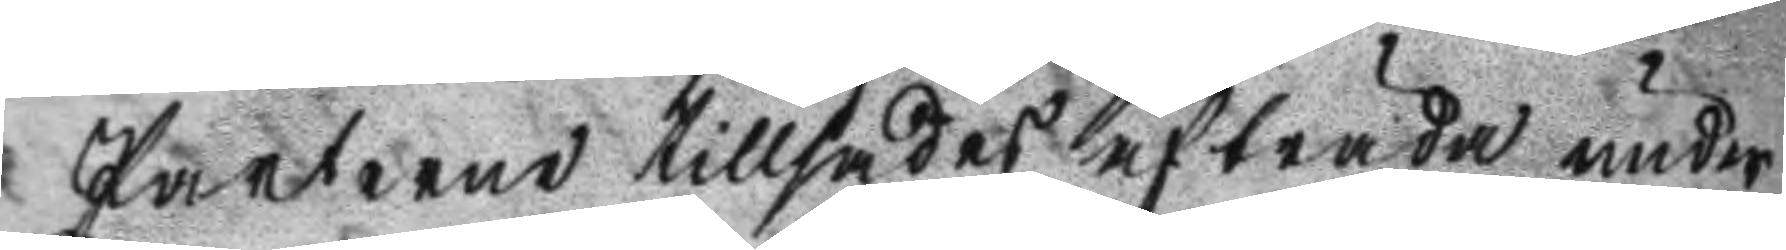Parterne tillsades afträda under
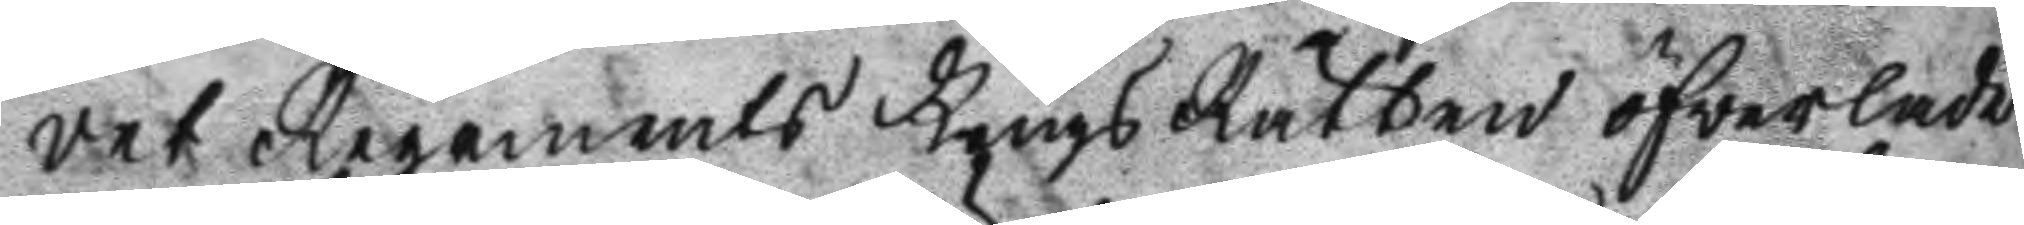det Regements Krigs Rätten öfwerlade
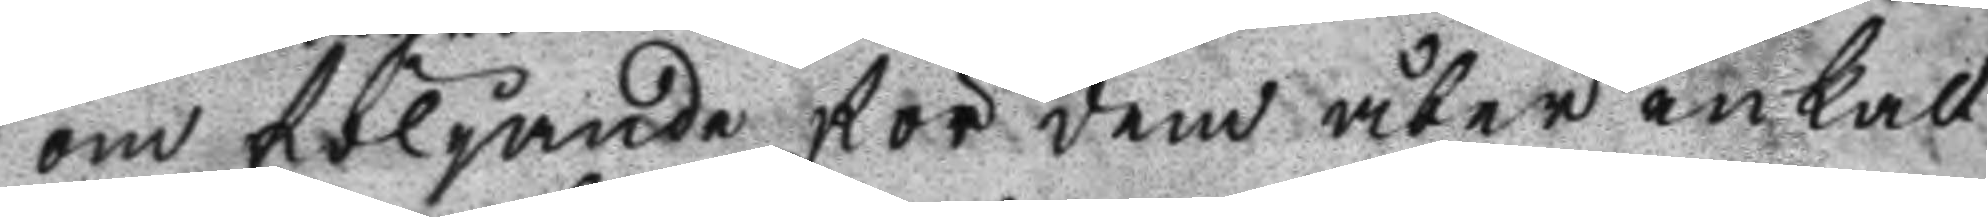om följande för dem åter inkall
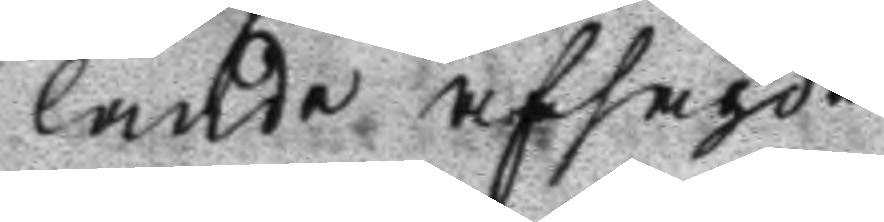lande afsagde
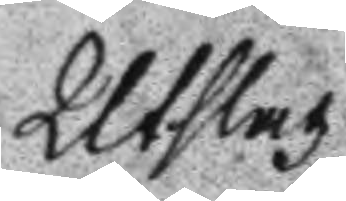Utslag.
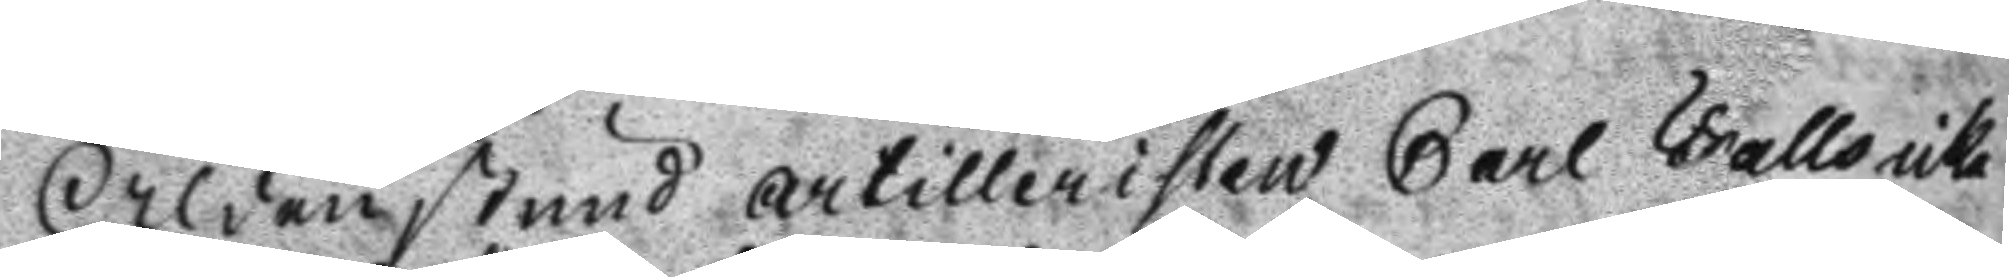Aldenstund artilleristen Carl Falls icke
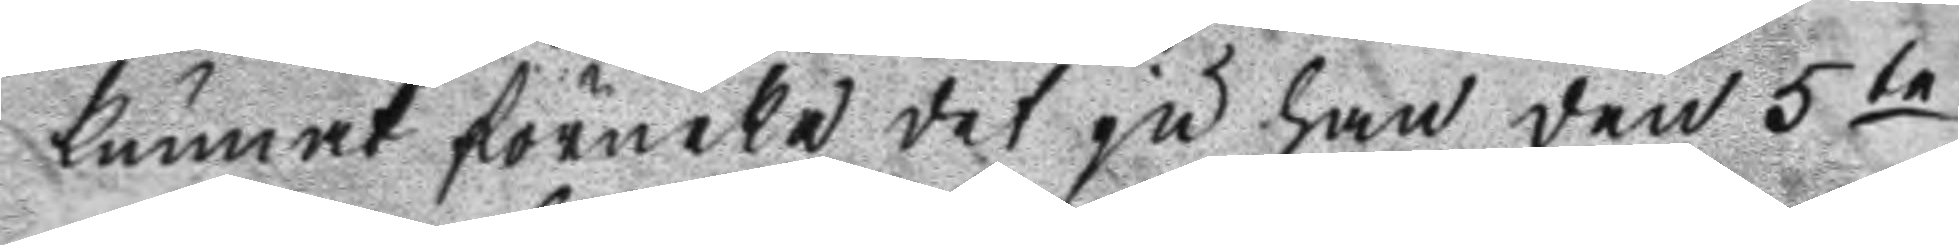kunnat förneka det ju han den 5te
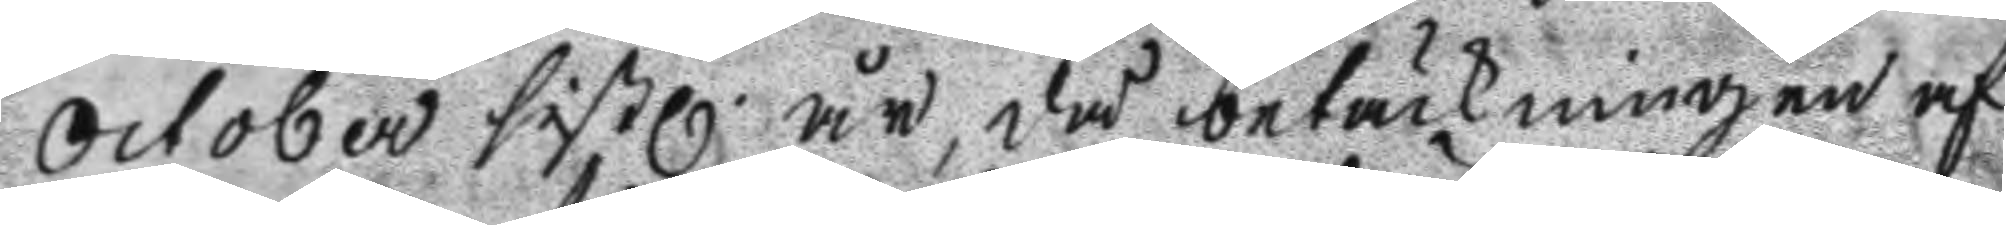October sistl. år, då betäckningen af
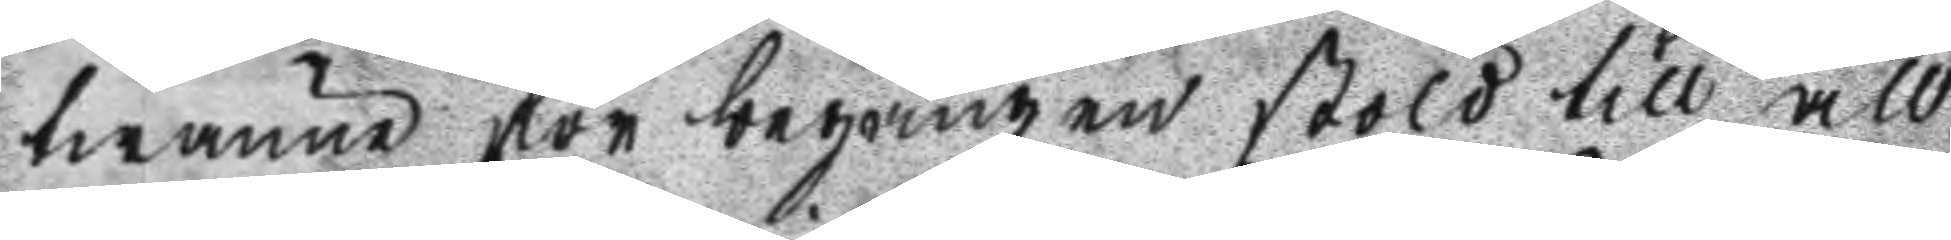twänne för begången stöld till all¬
